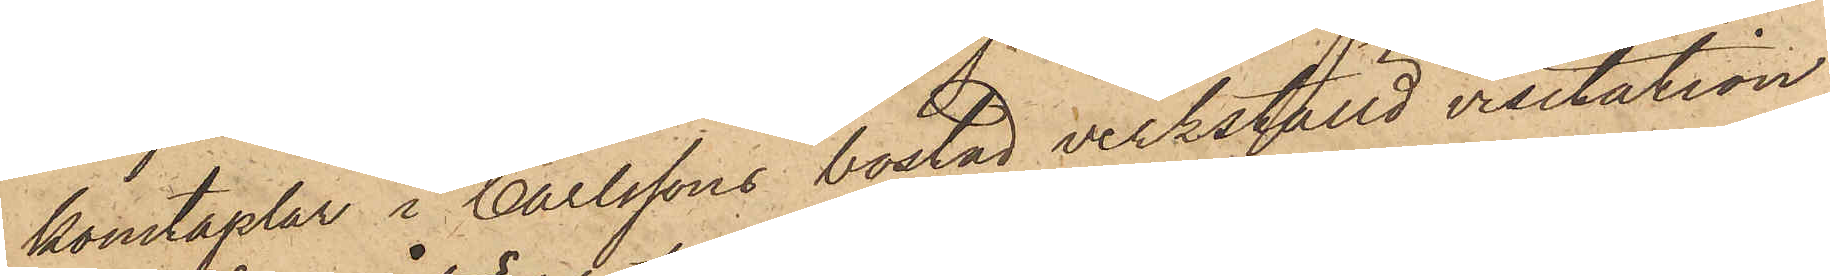konstaplar i Carlssons bostad verkställd visitation
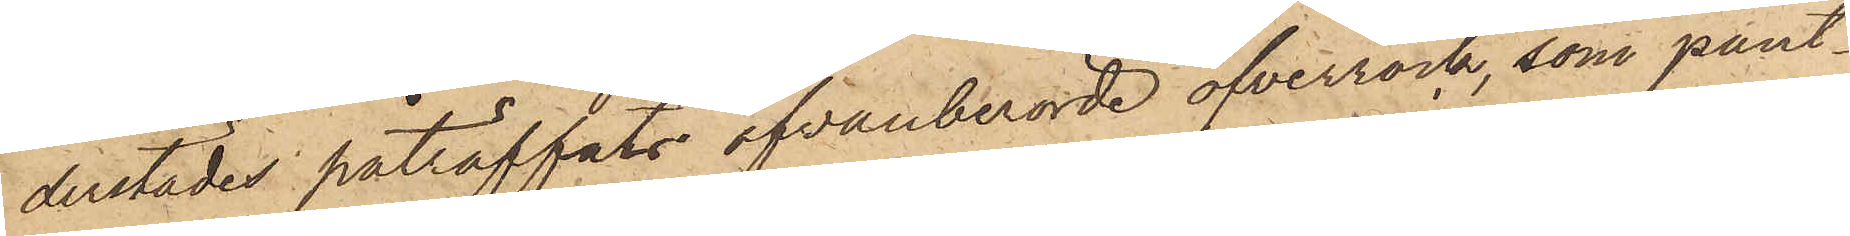derstädes påträffats ofvanberörde öfverrock, som pant¬
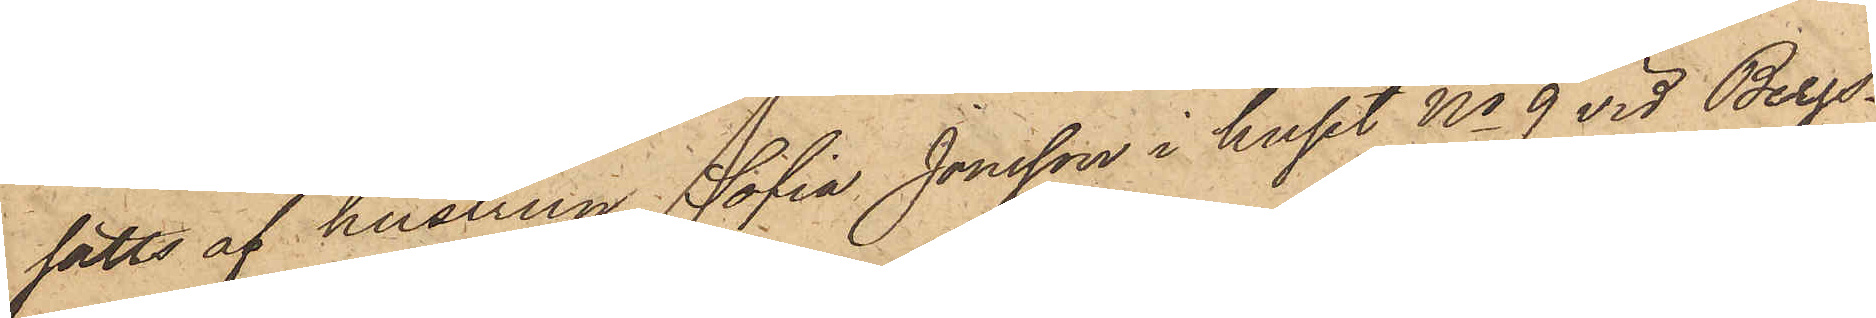satts af hustrun Sofia Jonsson i huset No 9 vid Bergs¬
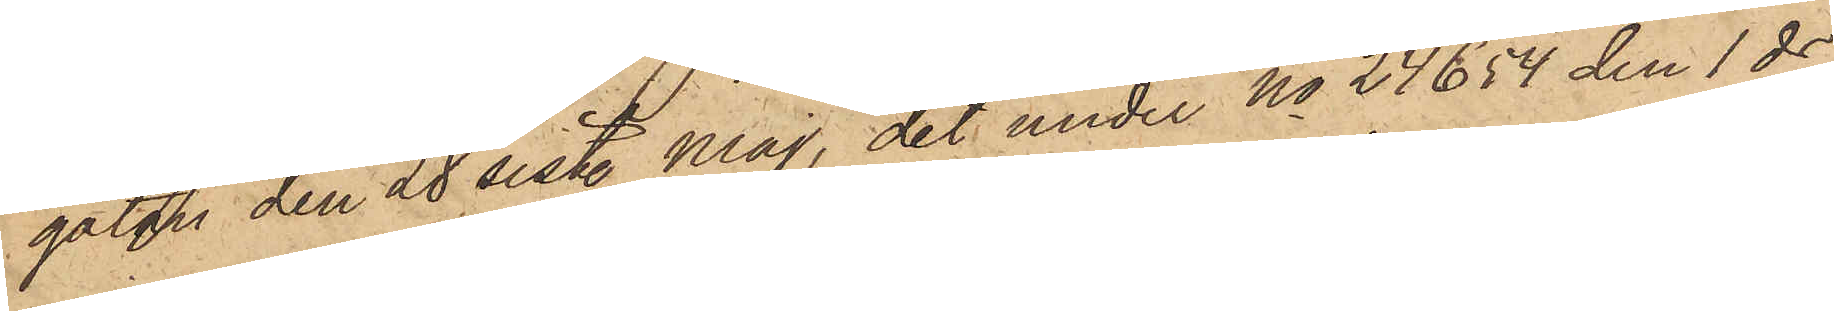gatan den 28 sist. Maj, det under No 24654 den 1 ds
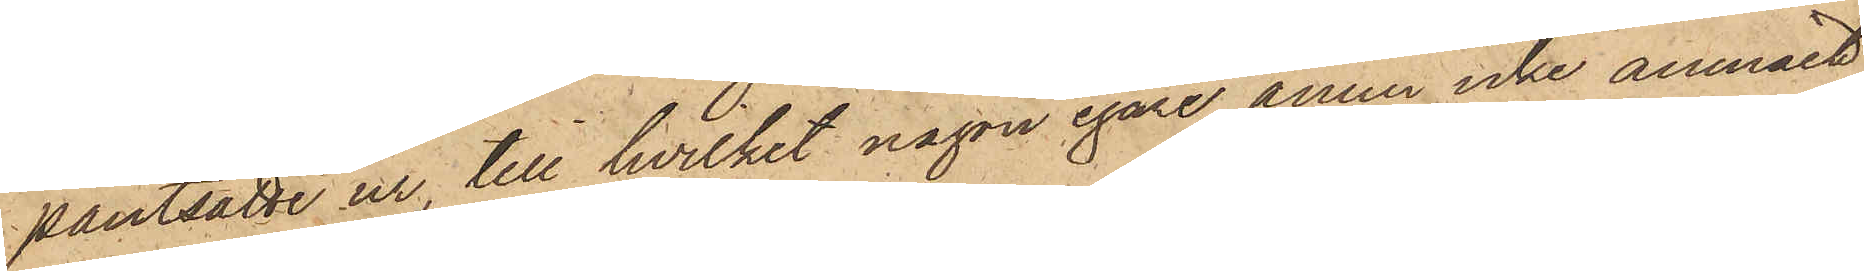pantsatte ur, till hvilket någon egare ännu icke anmält
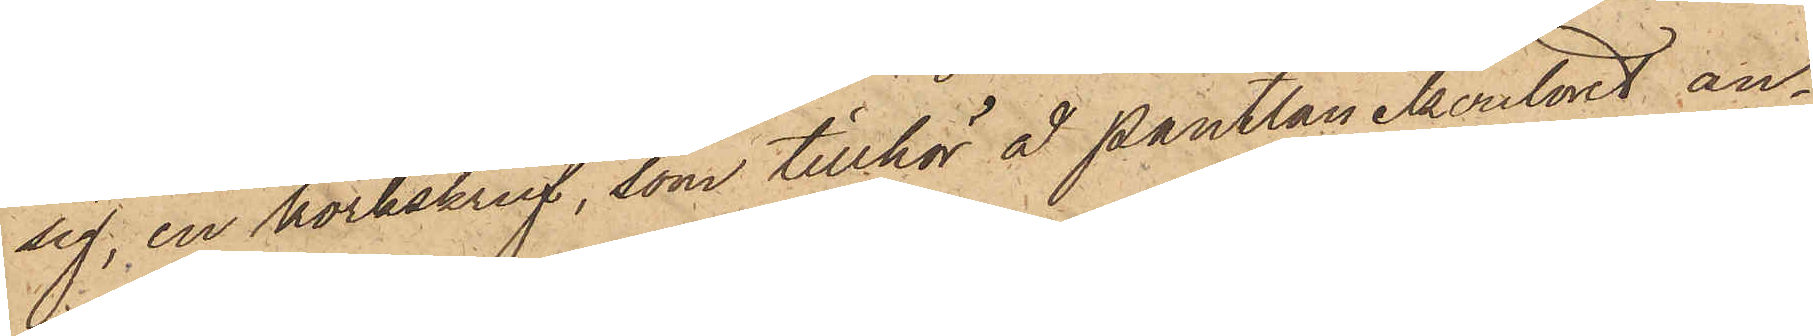sig, en korkskruf, som tillhör å pantlånekontoret an¬
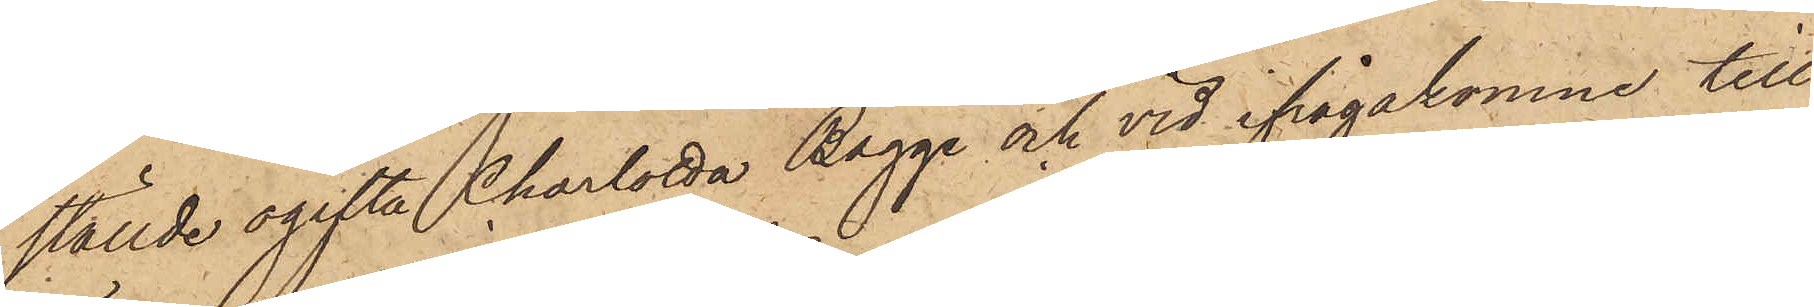ställde ogifta Charlotta Bagge och vid ifrågakomne till¬
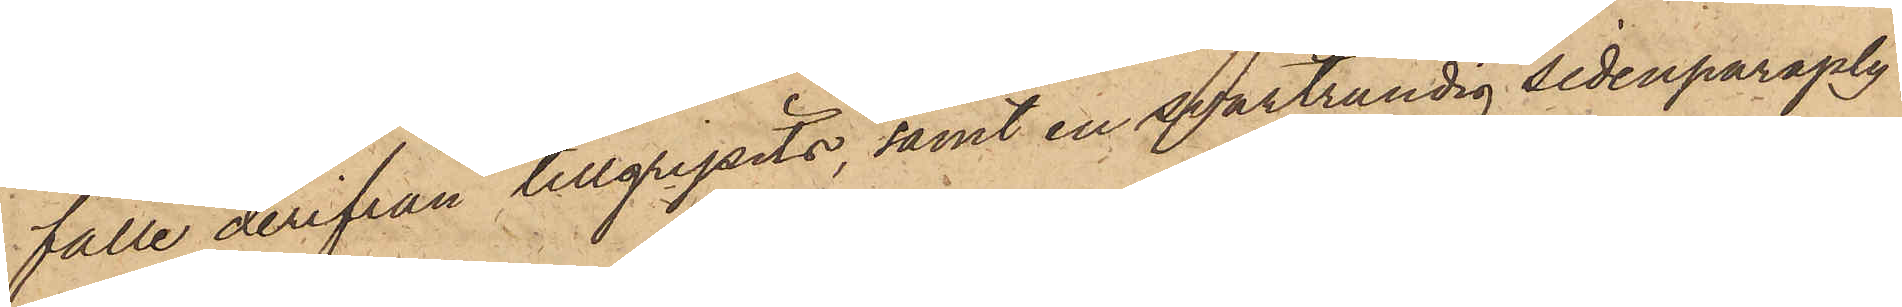fälle derifrån tillgripits, samt en svartrandig sidenparaply
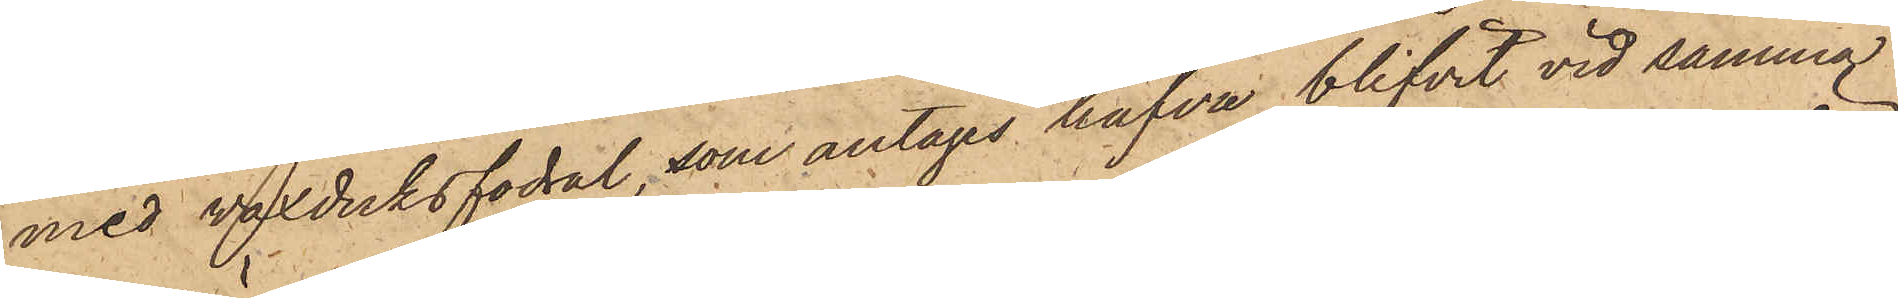med vaxduksfodral, som antages hafva blifvit vid samma
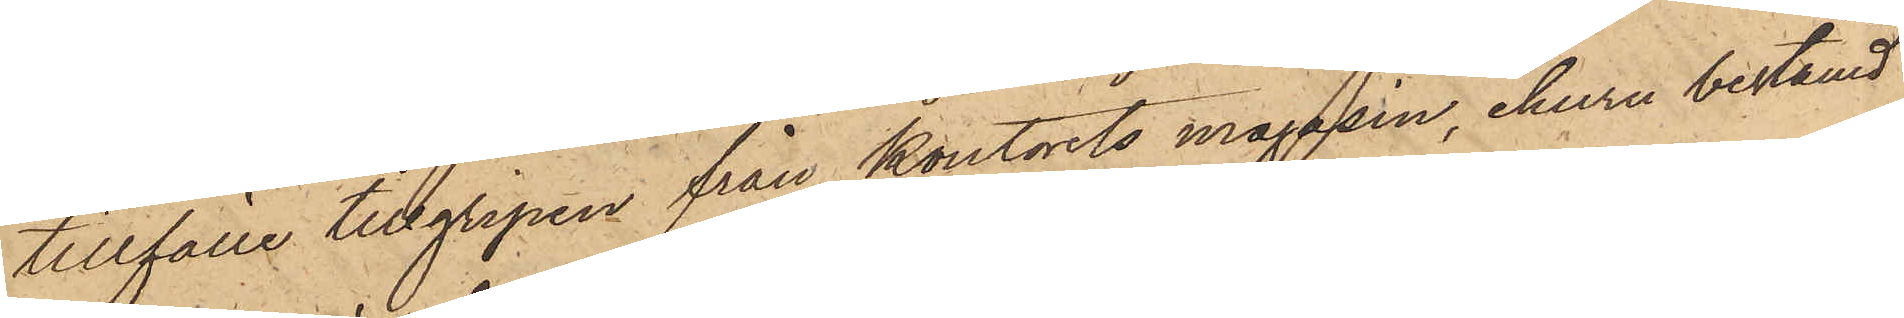tillfälle tillgripen från kontorets magasin, ehuru bestämd
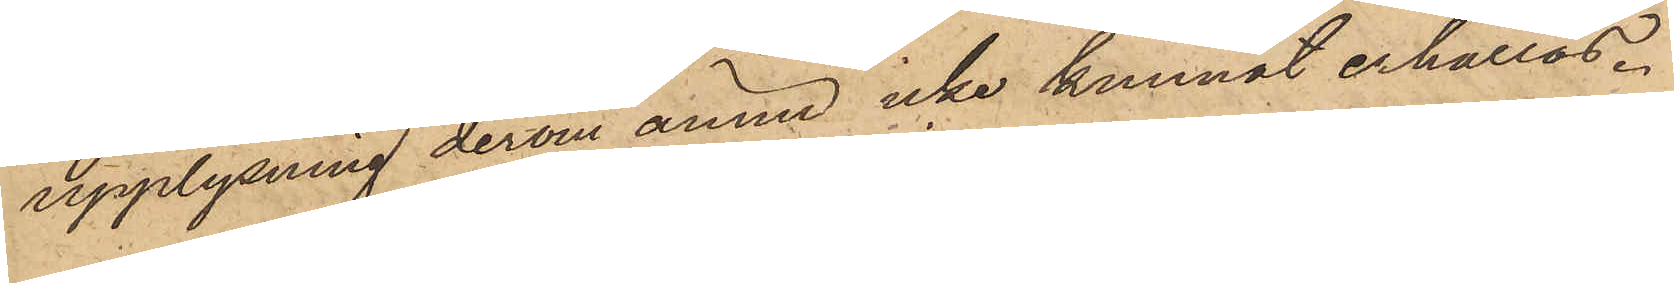upplysning derom ännu icke kunnat erhållas.
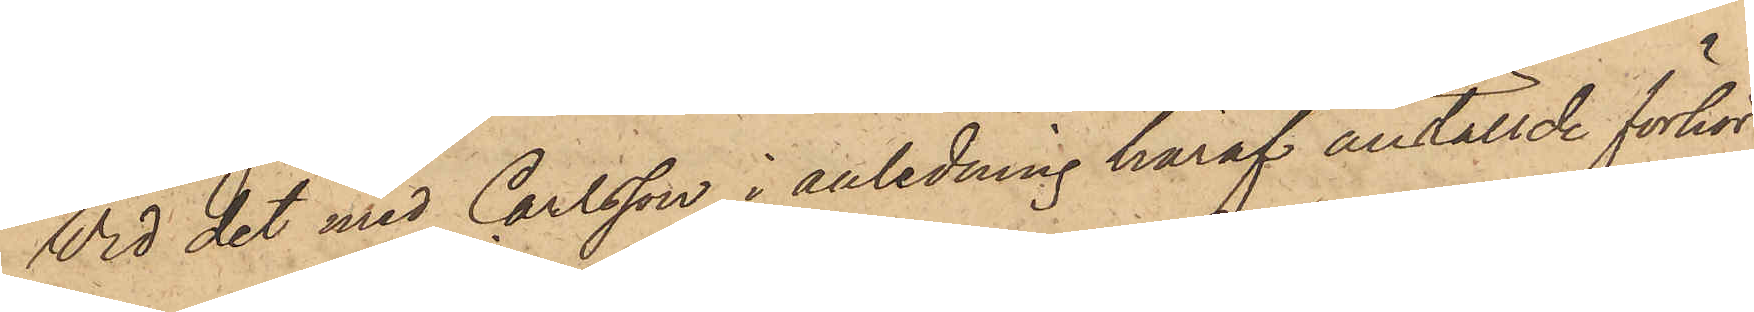Vid det med Carlsson i anledning häraf anställde förhör
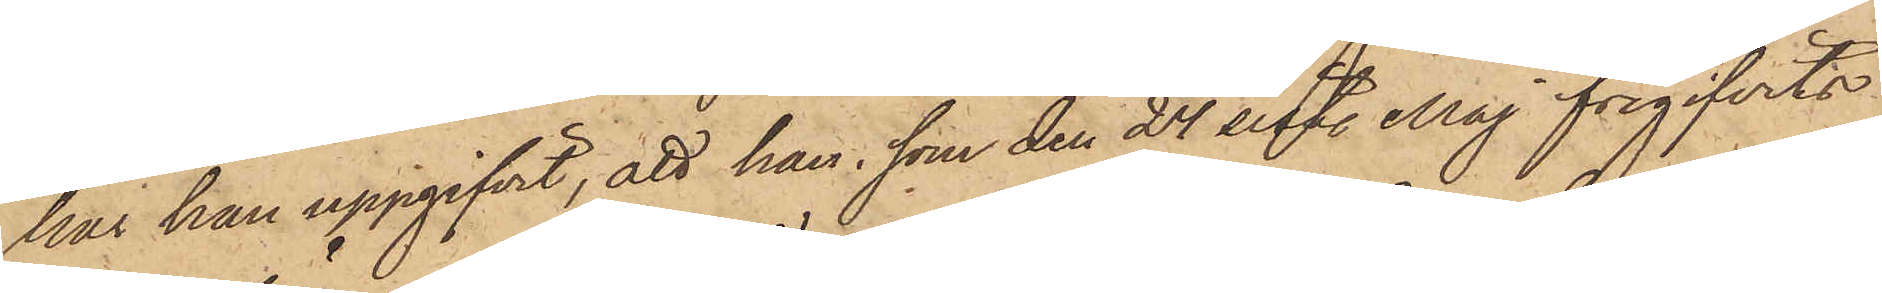har han uppgifvit, att han, som den 24 sist. Maj frigifvits
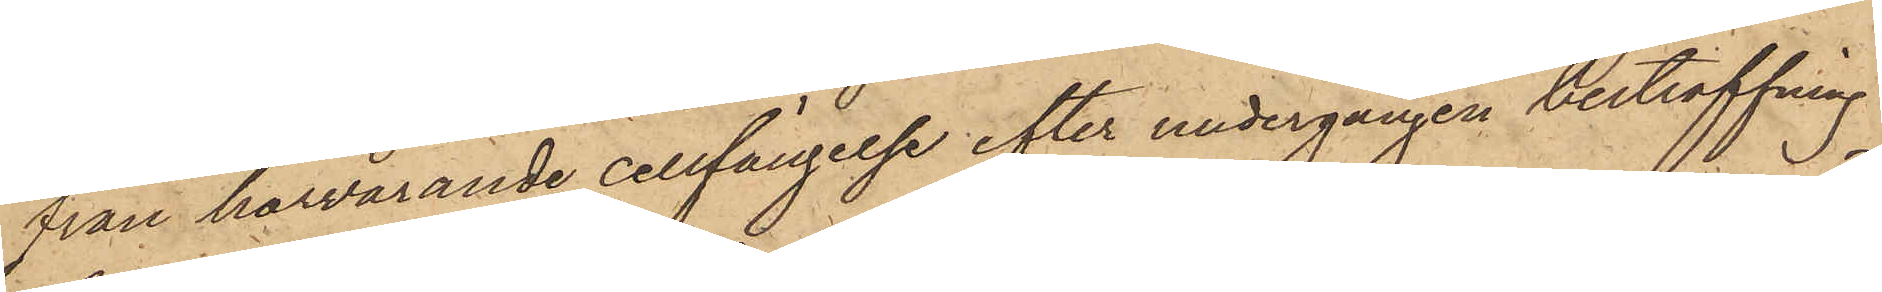från härvarande cellfängelse efter undergången bestraffning
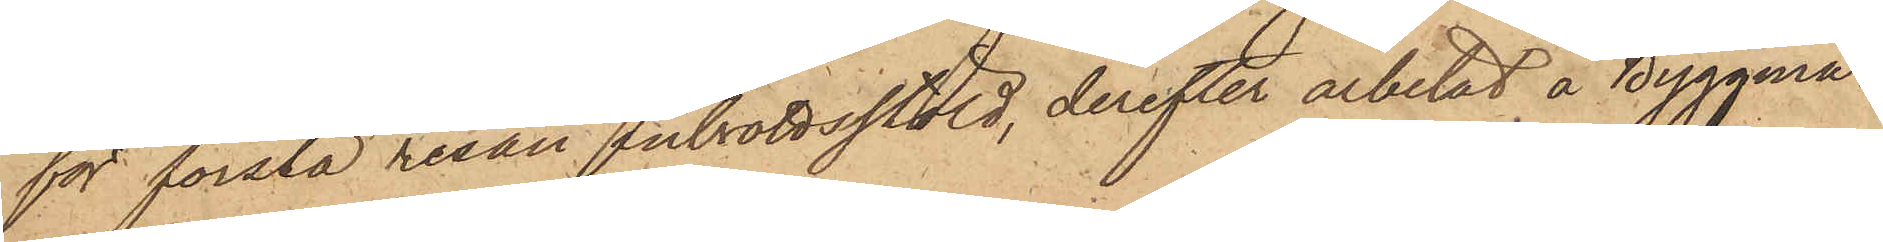för första resan inbrottsstöld, derefter arbetat å Byggmä¬
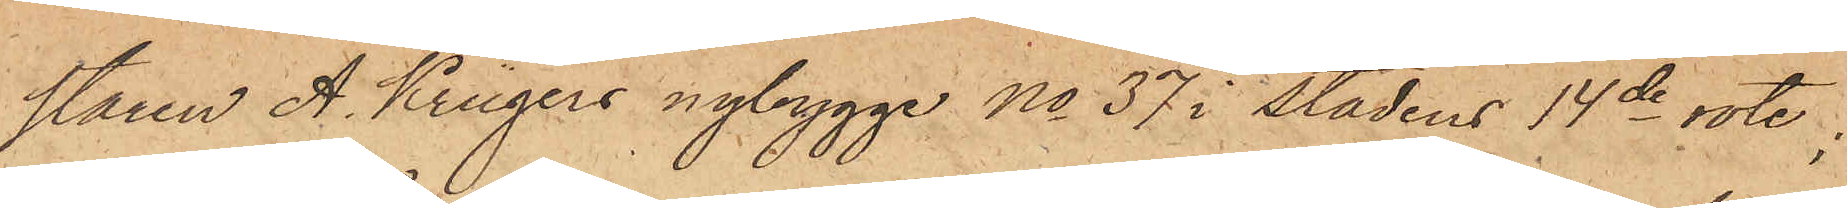staren A. Krügers nybygge No 37 i stadens 14de rote;
